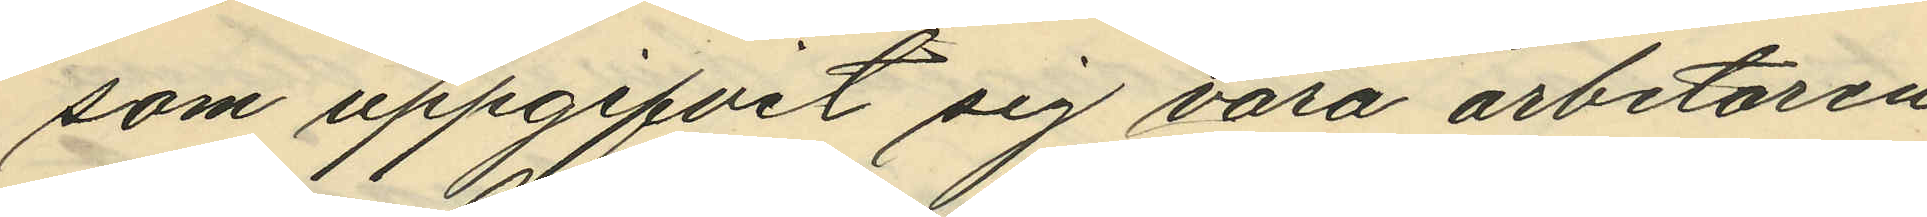som uppgifvit sig vara arbetaren
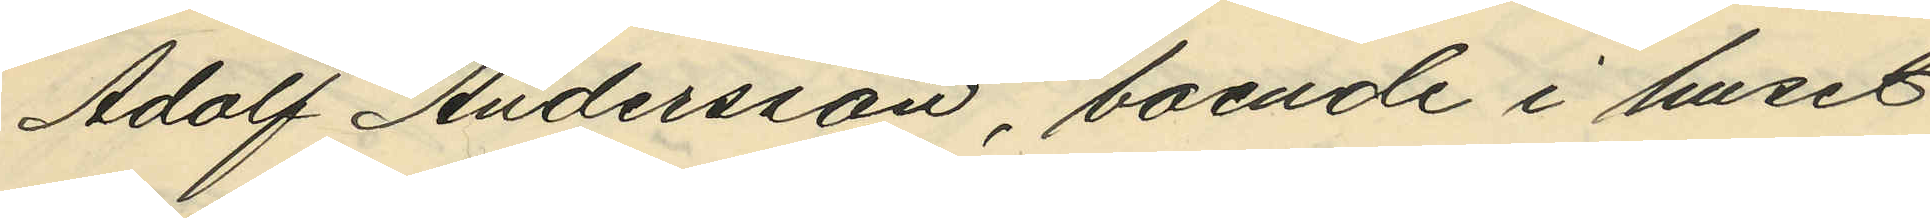Adolf Andersson, boende i huset
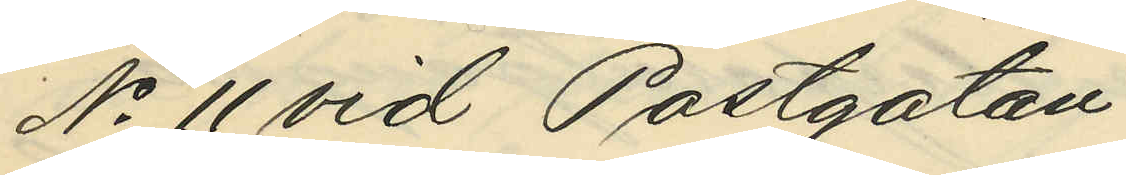No 11 vid Postgatan.
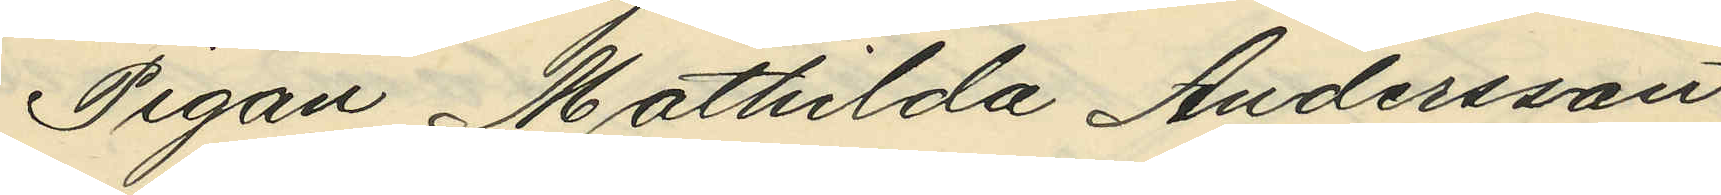Pigan Mathilda Andersson
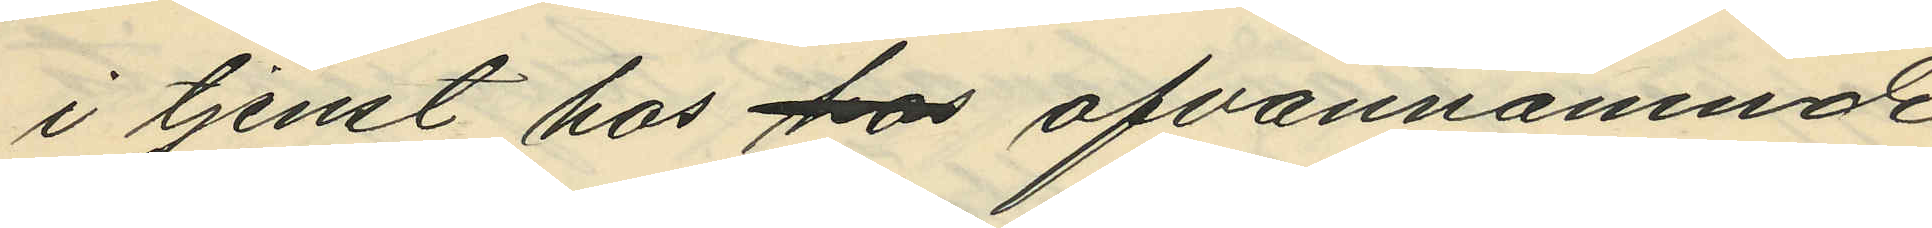i tjenst hos hos ofvannämnde
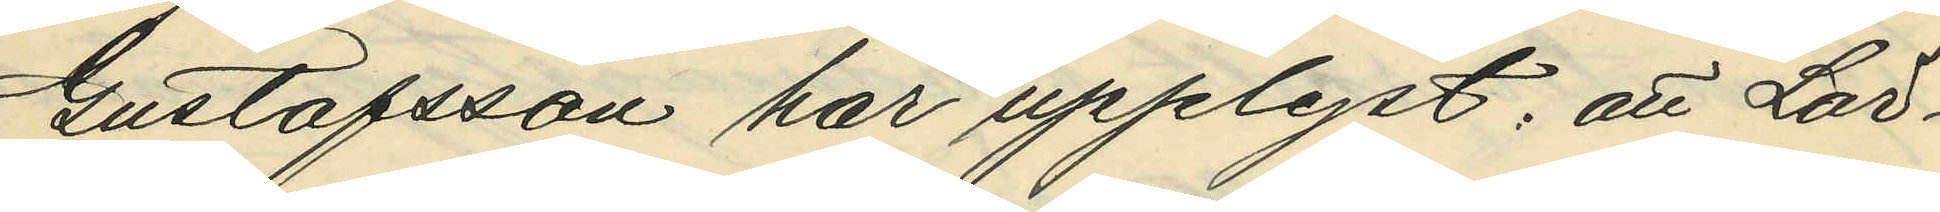Gustafsson har upplyst: att Lör¬
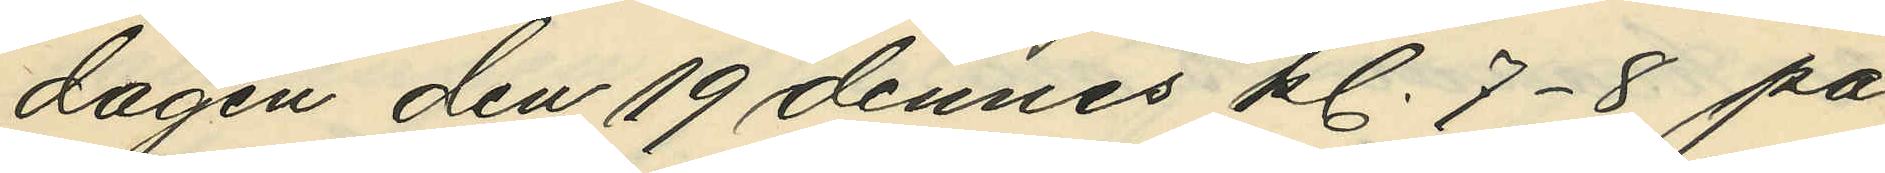dagen den 19 dennes kl. 7-8 på
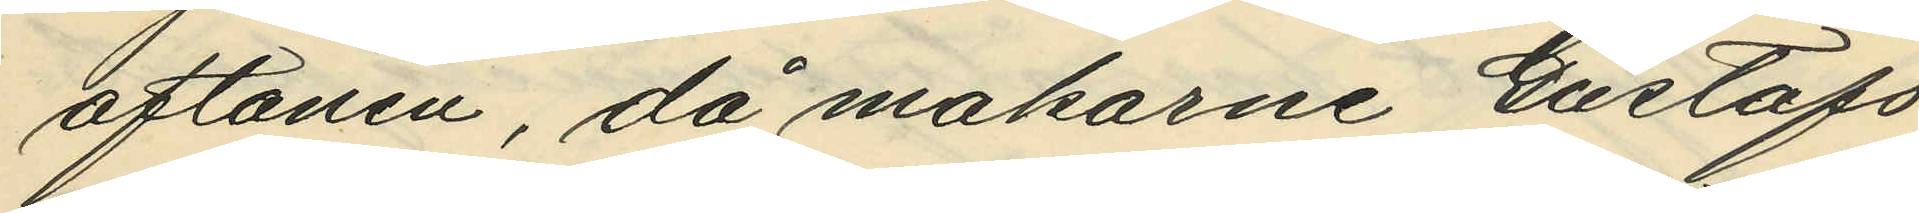aftonen, då makarne Gustafs
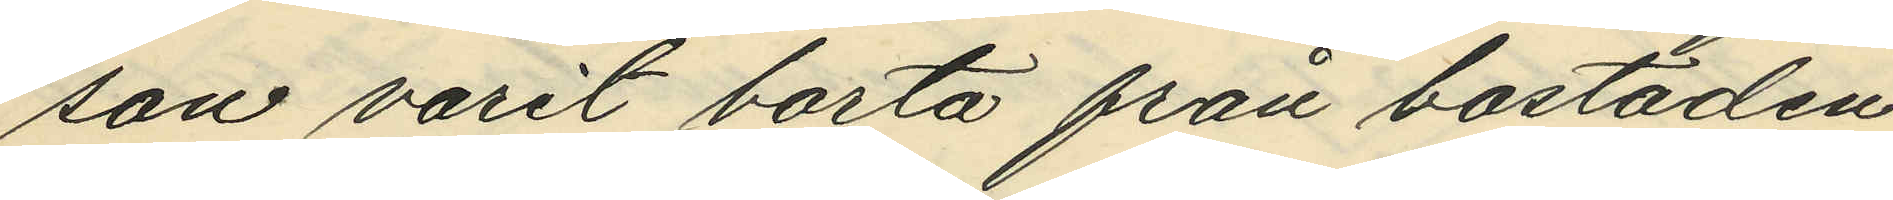son varit borta från bostaden,
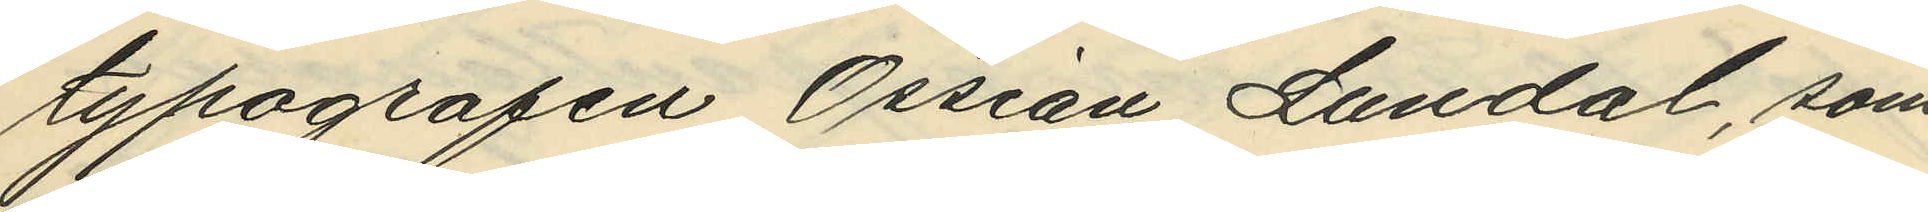typografen Ossian Lundal, som
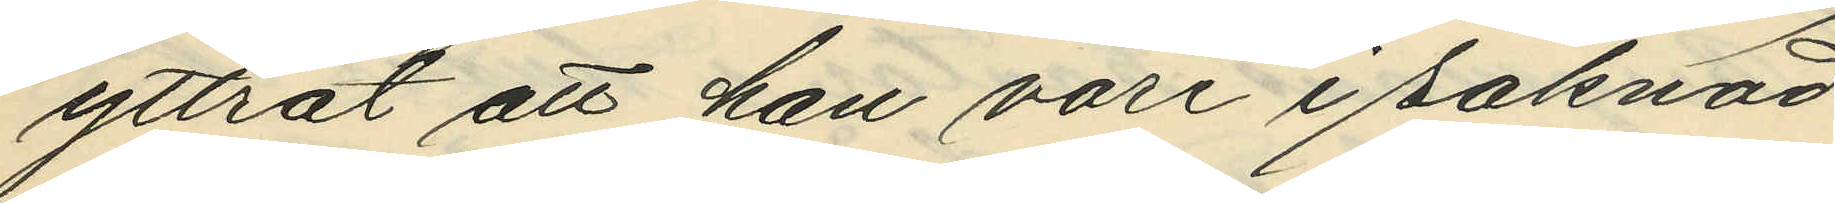yttrat att han vore i saknad
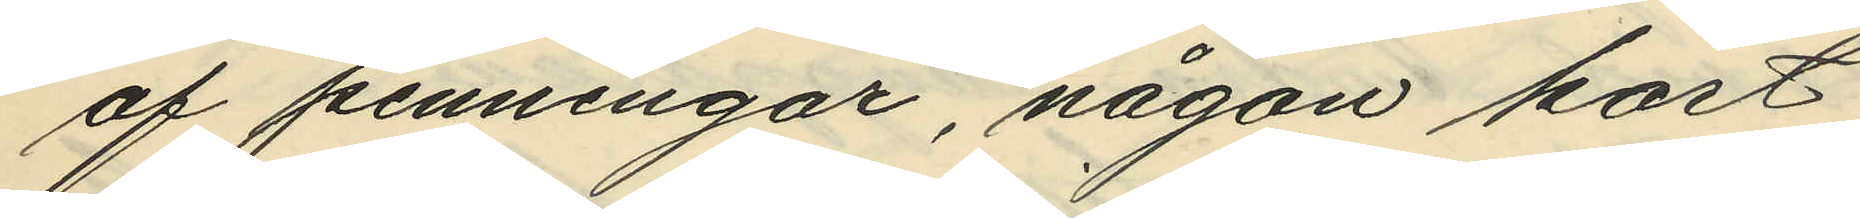af penningar, någon kort
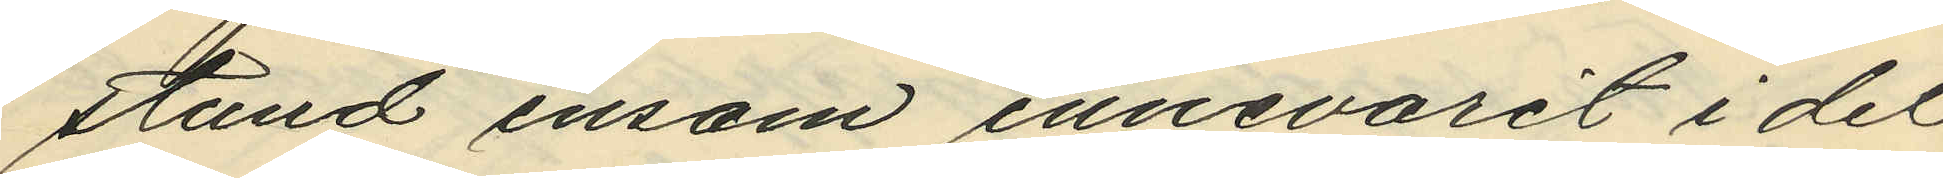stund ensam innevarit i det
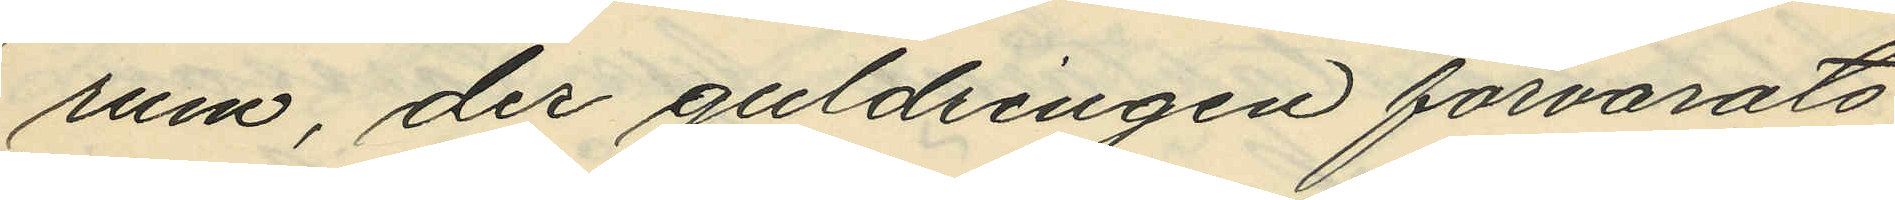rum, der guldringen förvarats;
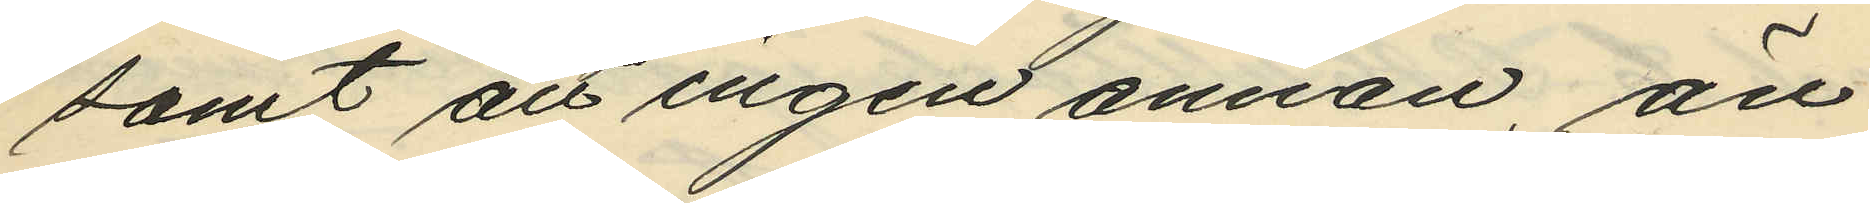samt att ingen annan än
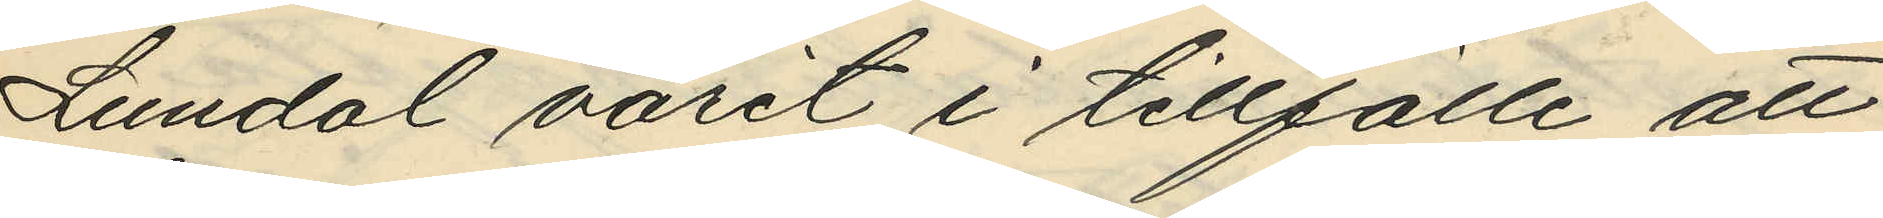Lundal varit i tillfälle att
